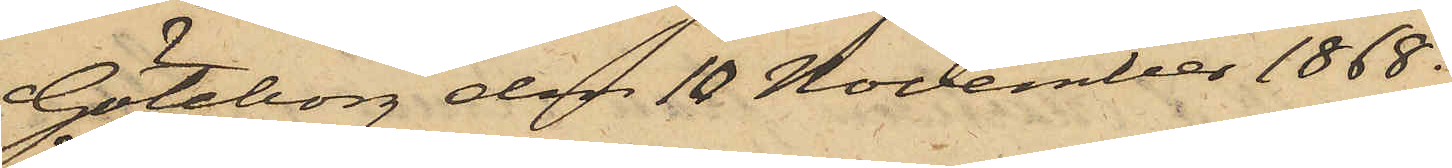Göteborg den 18 November 1868.
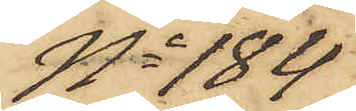No 184
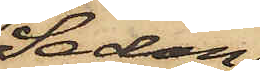Sedan
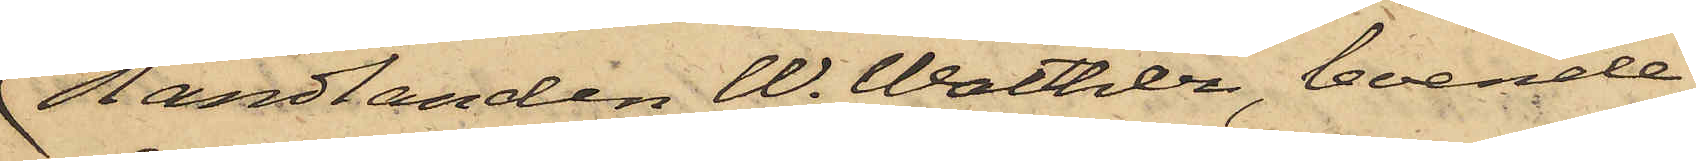Handlanden W. Walther, boende
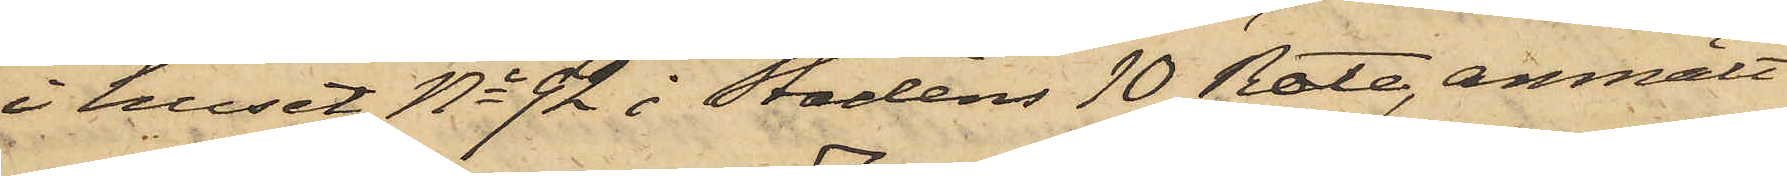i huset No 92 i Stadens 10 Rote, anmält
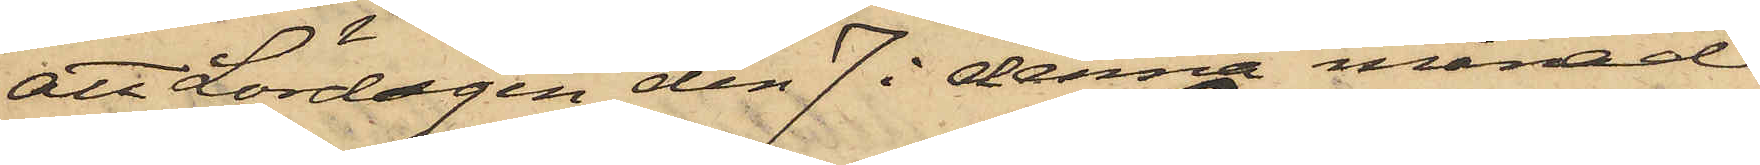att Lördagen den 7 i denna månad
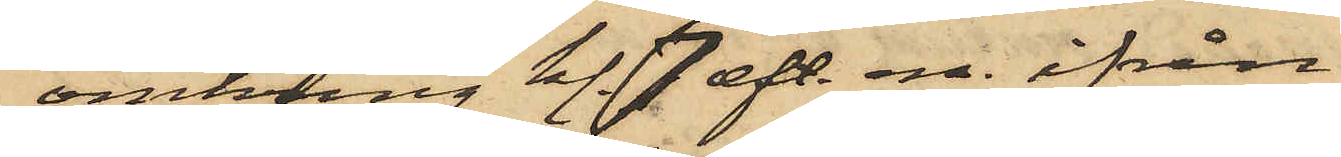omkring kl. 7 eft. m. ifrån
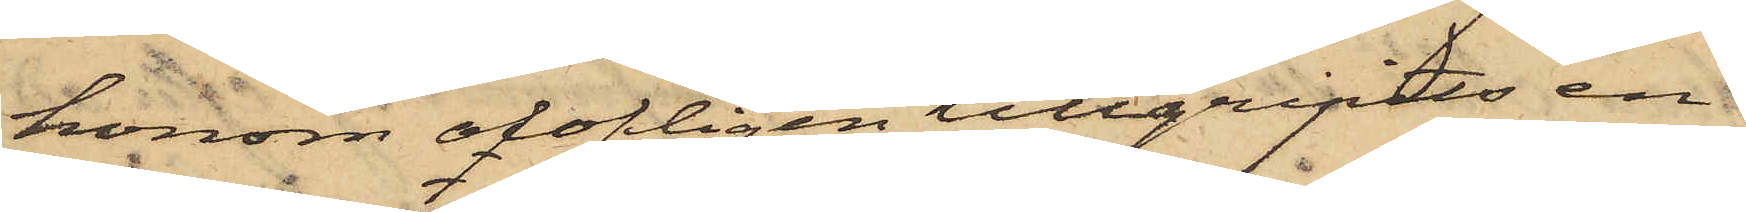honom olofligen tillgripits en
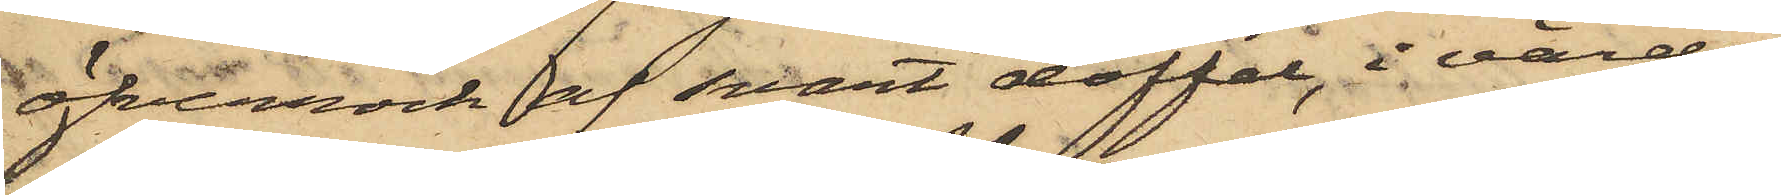öfverrock af svart doffel, i värde
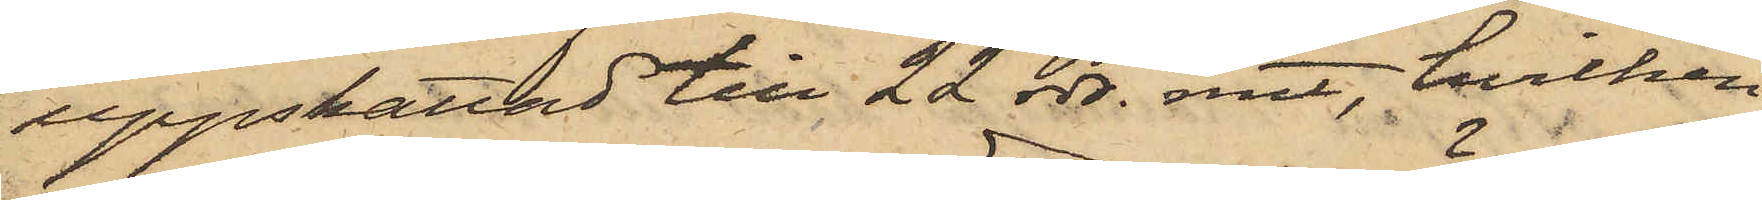uppskattad till 22 rdr. rmt, hvilken
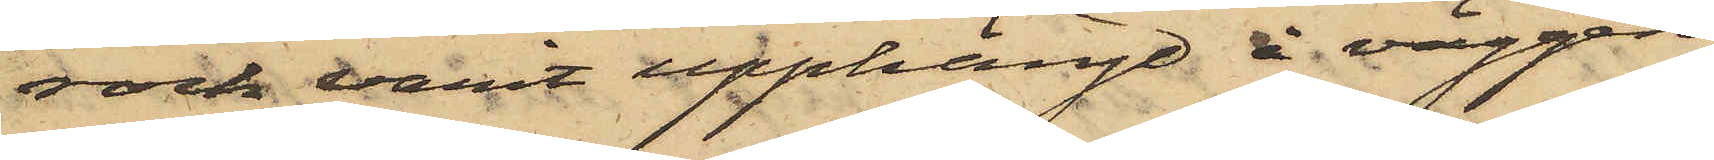rock varit upphängd å väggen
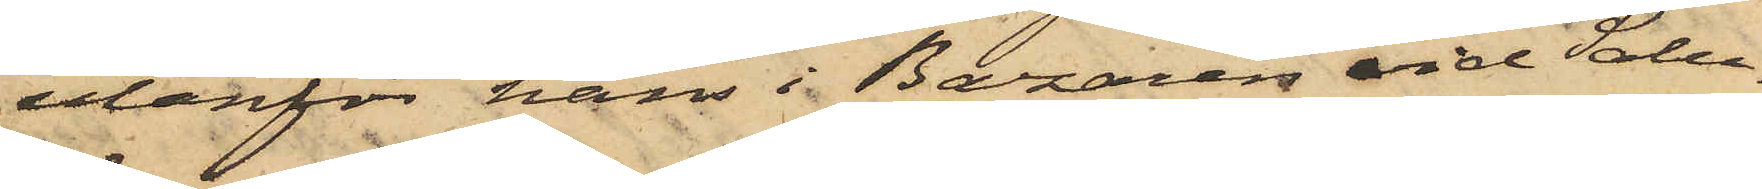utanför hans i Bazaren vid Salu¬
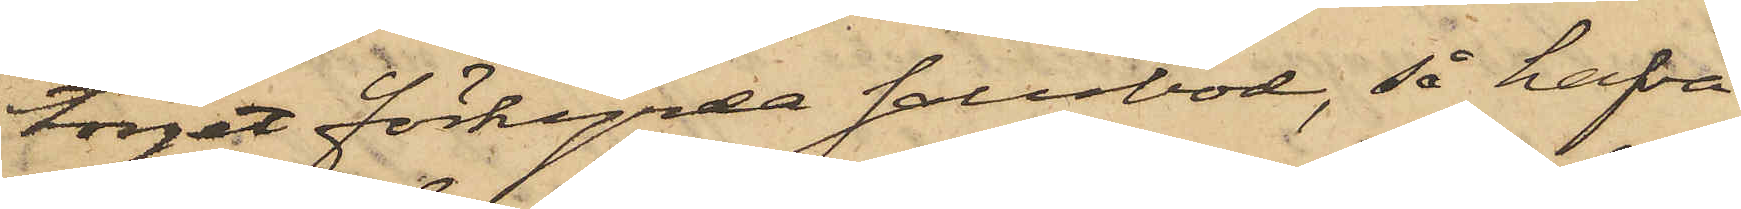torget förhyrda salubod, så hafva
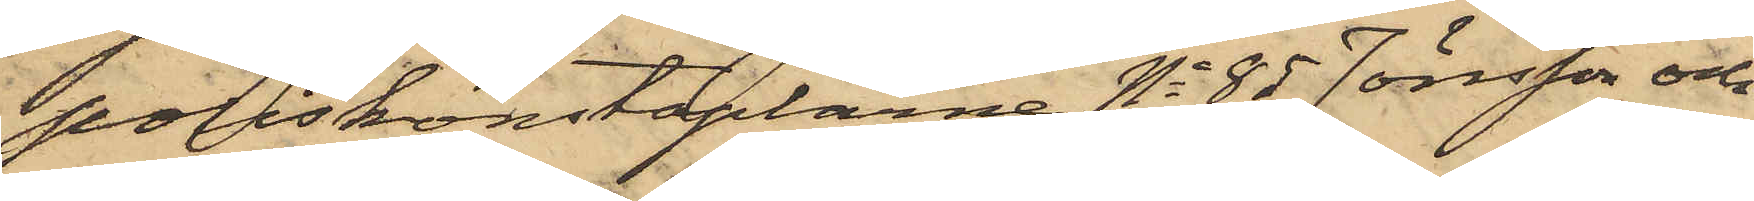poliskonstaplarne No 85 Jönsson och
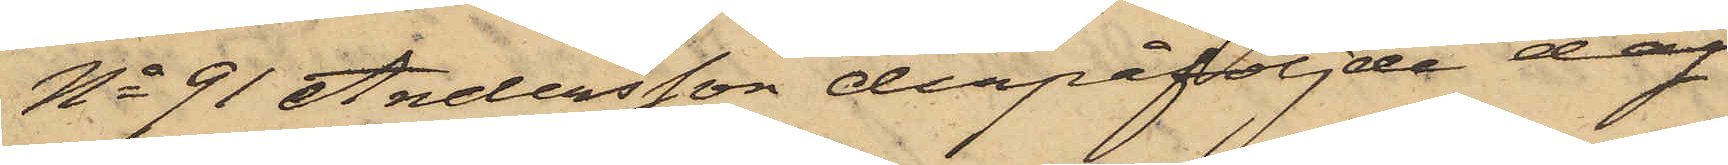No 91 Andersson derpåföljde dag
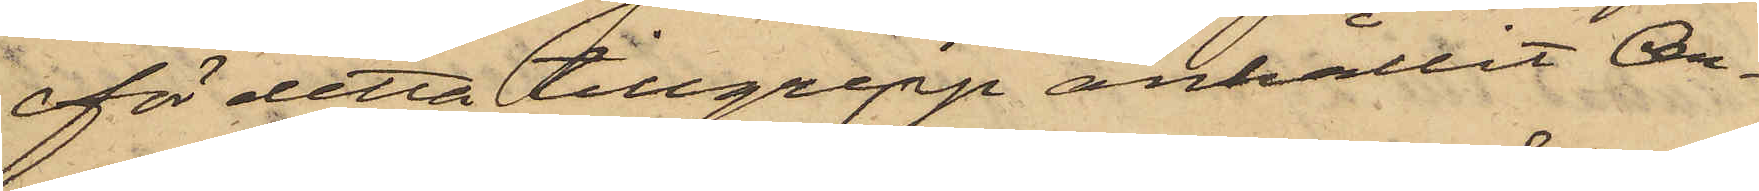för detta tillgrepp anhållit An¬
